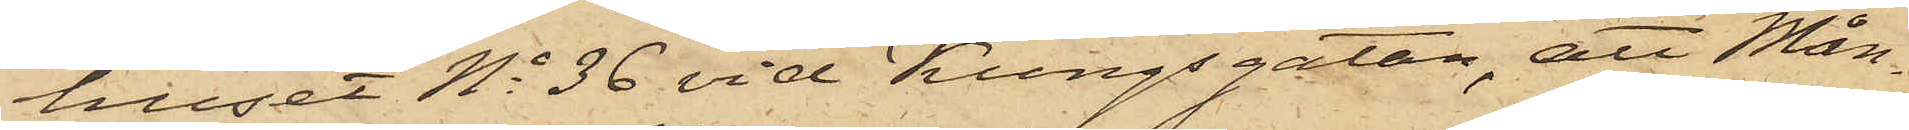huset No 36 vid Kungsgatan, att Mån¬
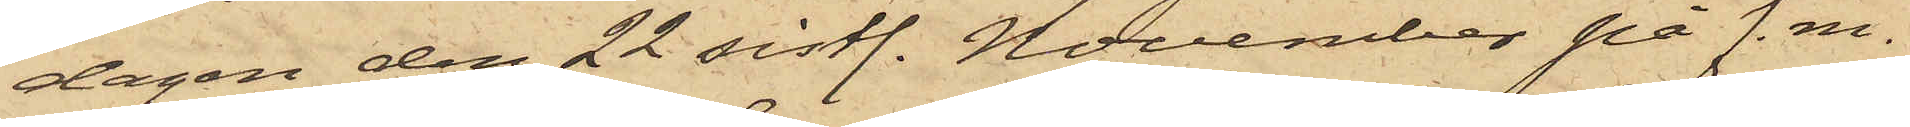dagen den 22 sistl. November på f.m.
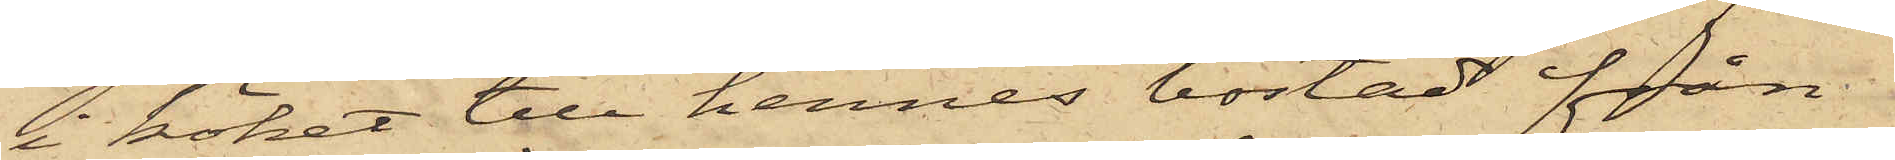i köket till hennes bostad från
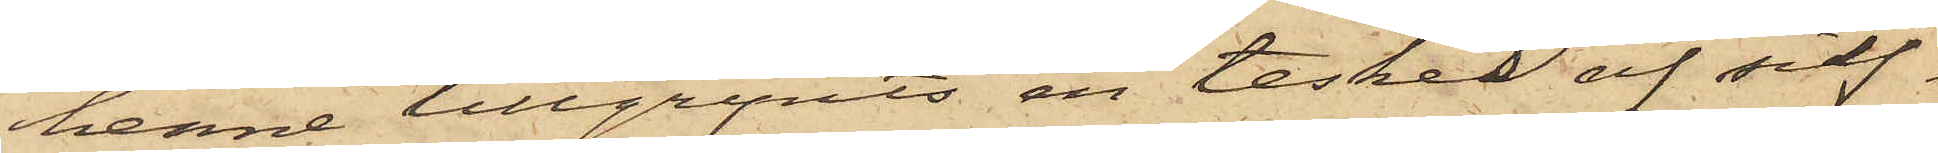henne tillgripits en tesked af silf¬
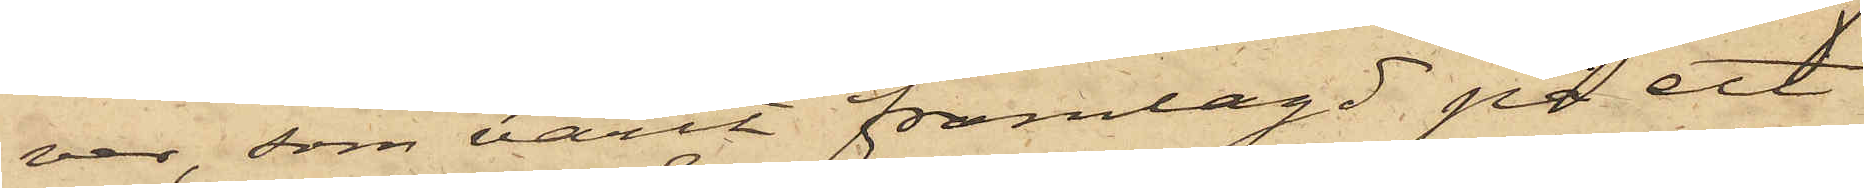ver, som varit framlagd på ett
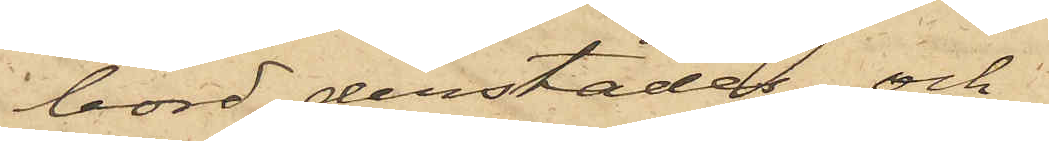bord derstädes; och
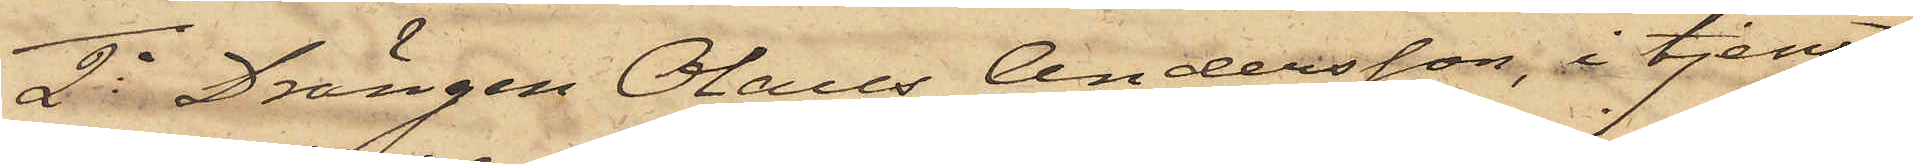2o Drängen Olaus Andersson, i tjenst
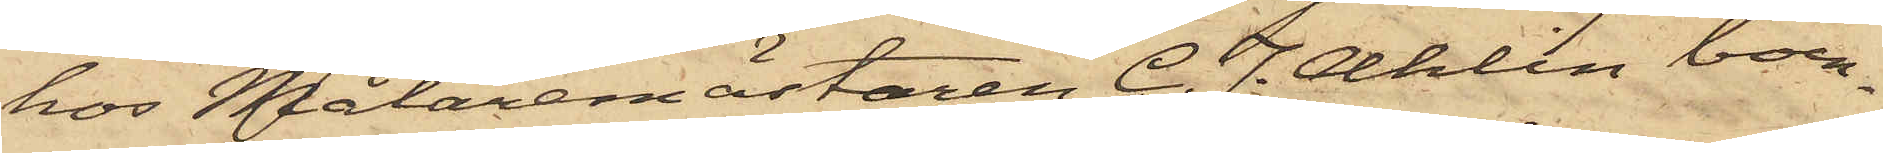hos Målaremästaren C. J. Ahlin boen¬
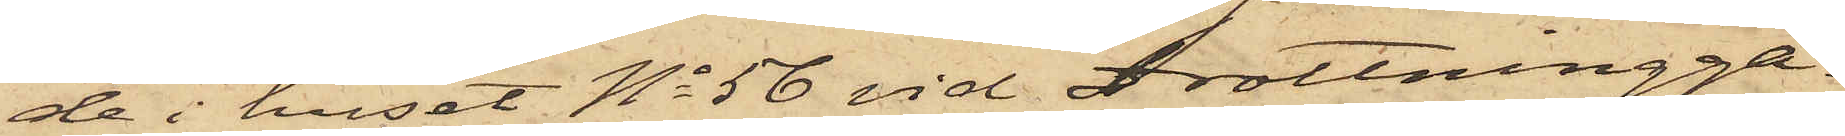de i huset No 56 vid Drottningga¬
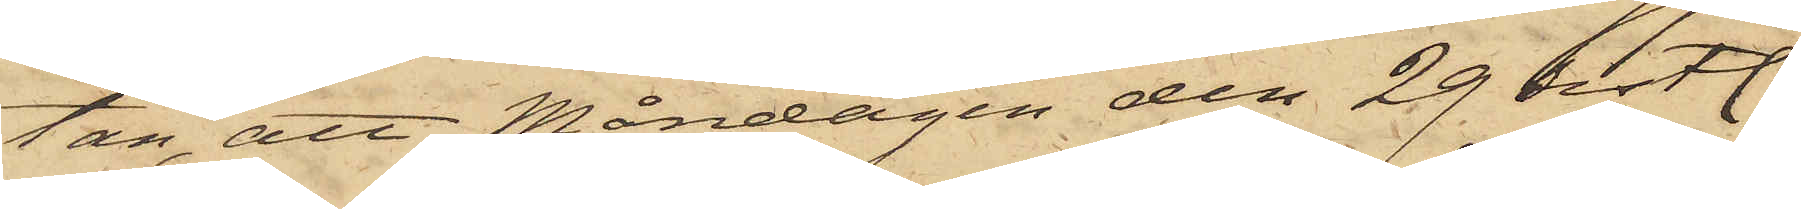tan, att Måndagen den 29 sistl.
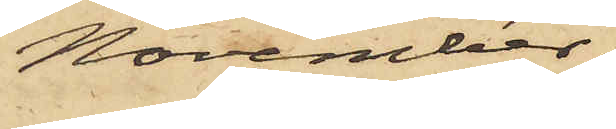November
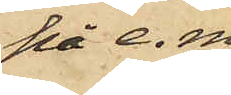på e. m.
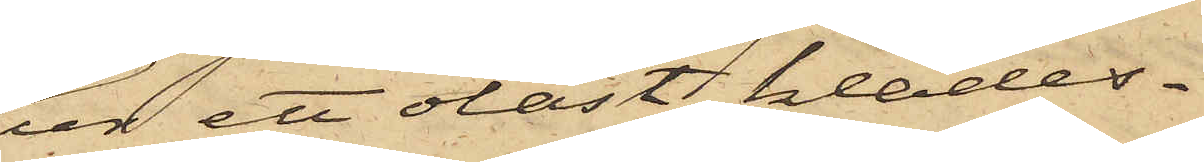ur ett olåst klädes¬
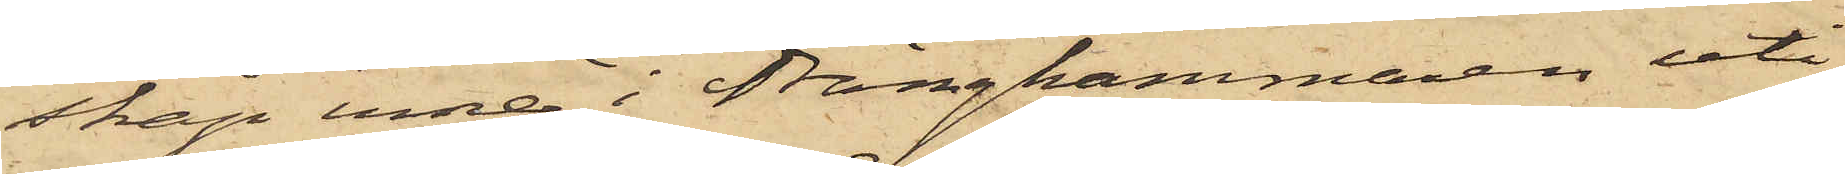skåp inne i Drängkammaren uti
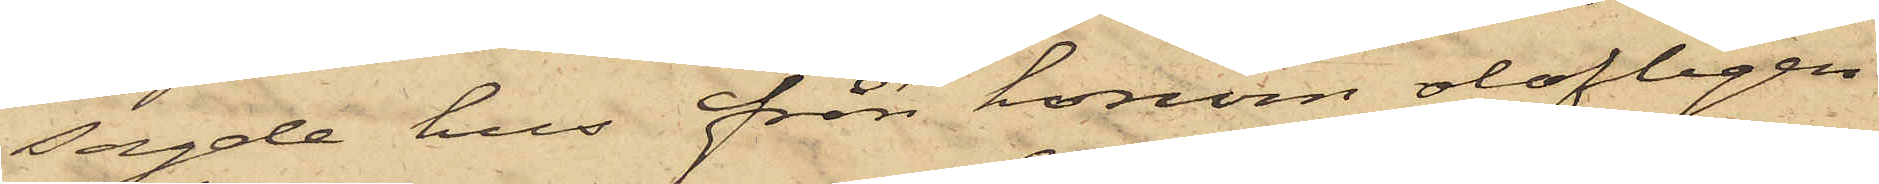sagde hus från honom olofligen
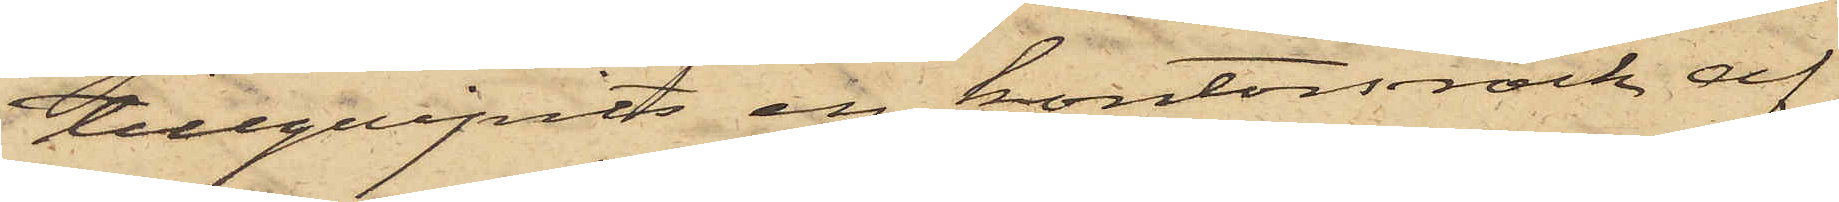tillgripits en kontorsrock af
